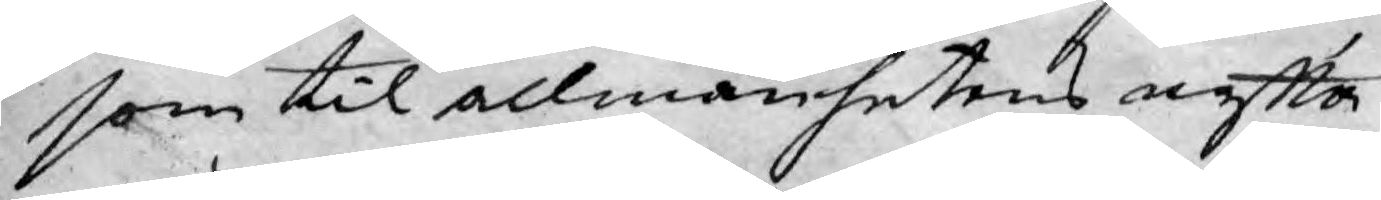som til allmänhetens nytta
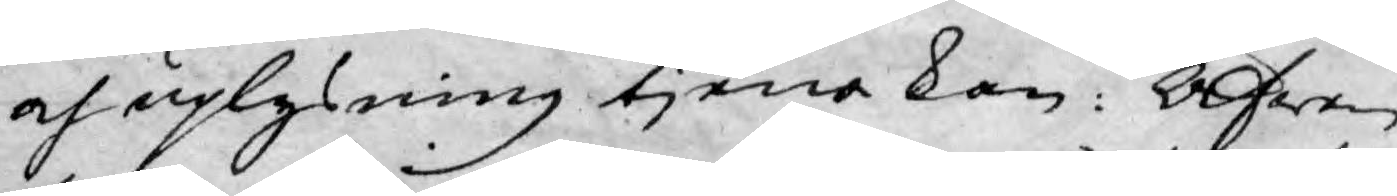och uplysning tjena kan: Äfwen
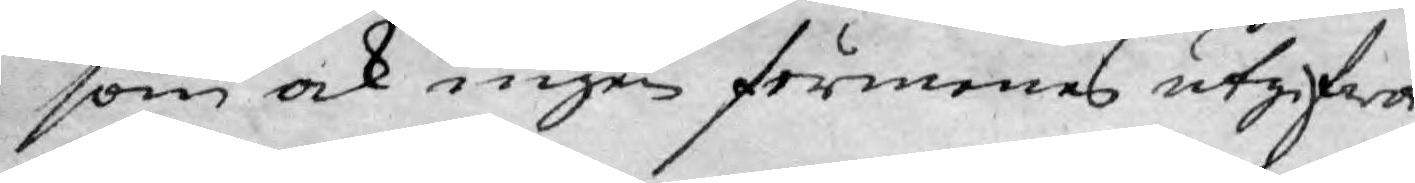som ock ingen förmenes utgifwa
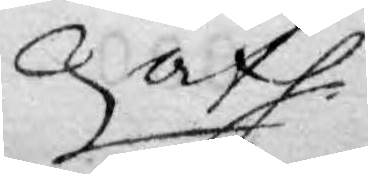afh.
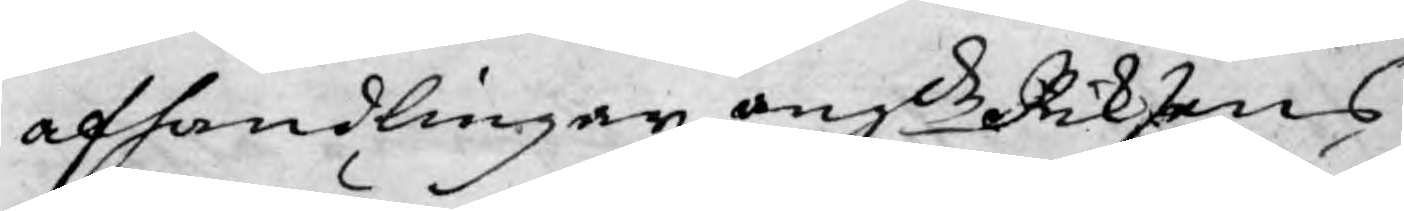afhandlingar angde Riksens
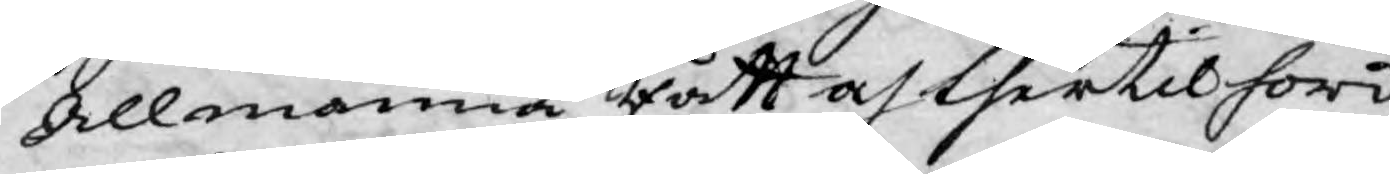Allmänna Rätt och thertil hörd¬
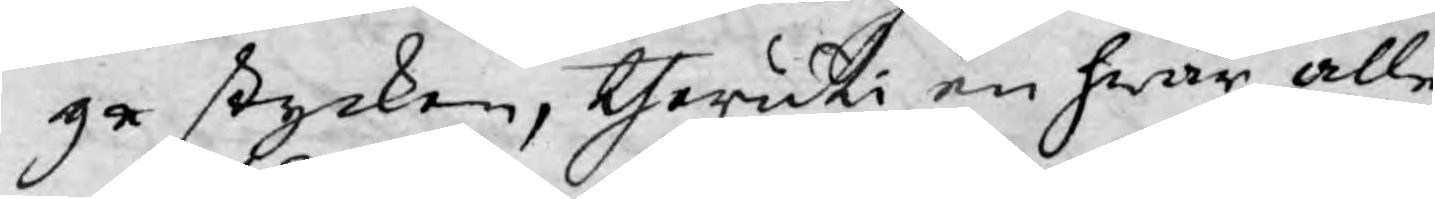ge stycken, theruti en hwar, alle¬
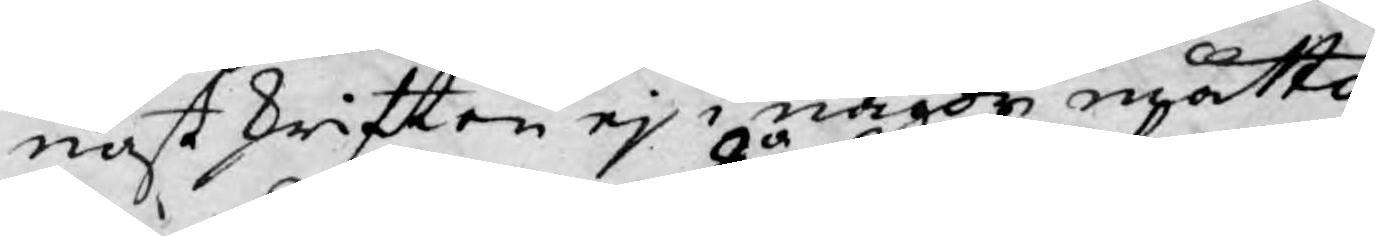nast skriften ej i någor måtto
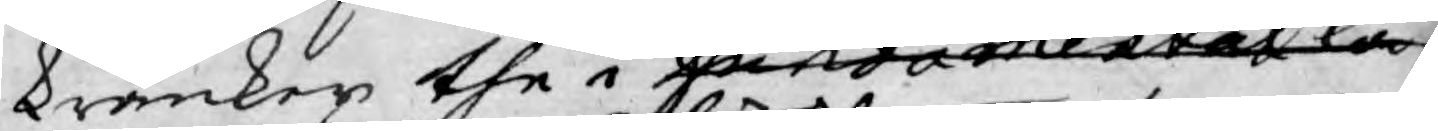kränker the i fundametal la¬
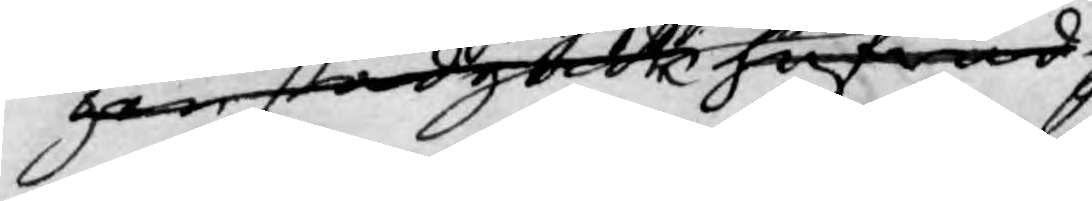gen stadgde hufwud
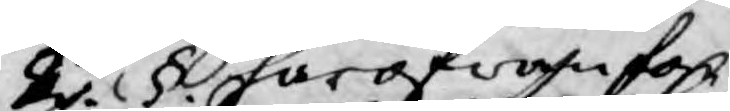2o. §. härofwan for
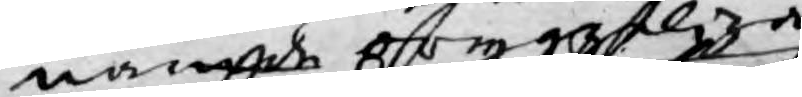namde oryggelige
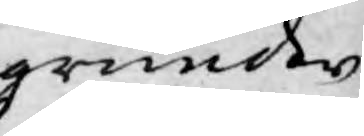grunder
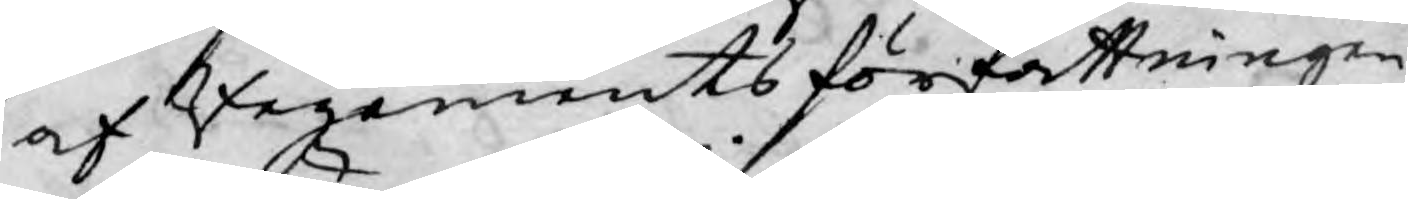af Regements författningen,
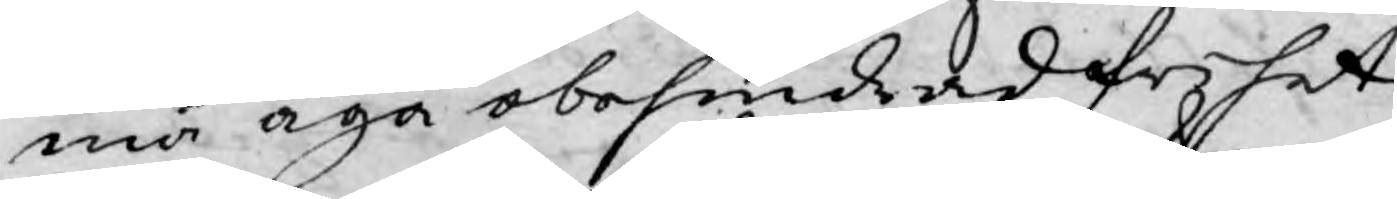må äga obehindrad frihet
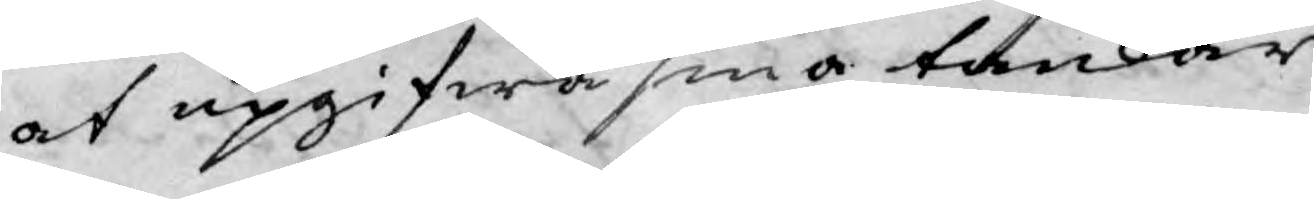at upgifwa sina tankar
